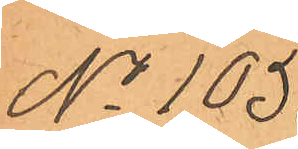No 105.
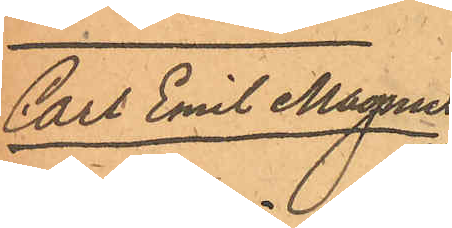Carl Emil Magnus
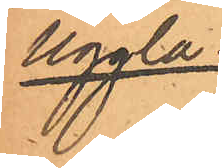Uggla.
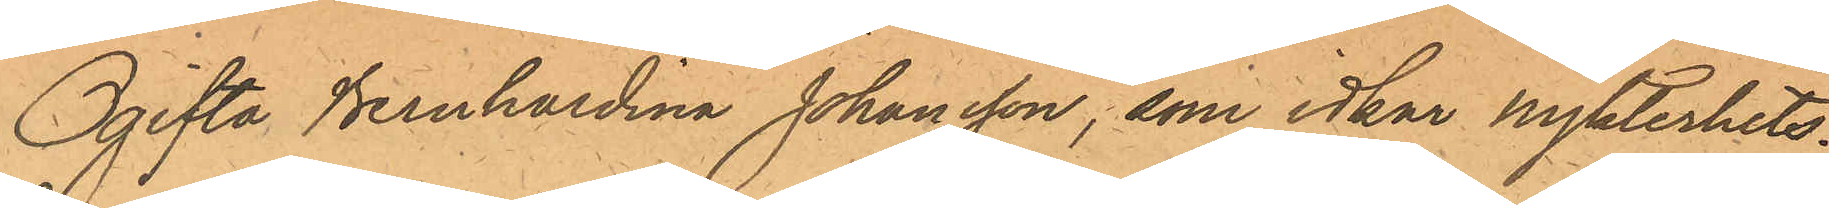Ogifta Bernhardina Johansson, som idkar Nykterhets¬
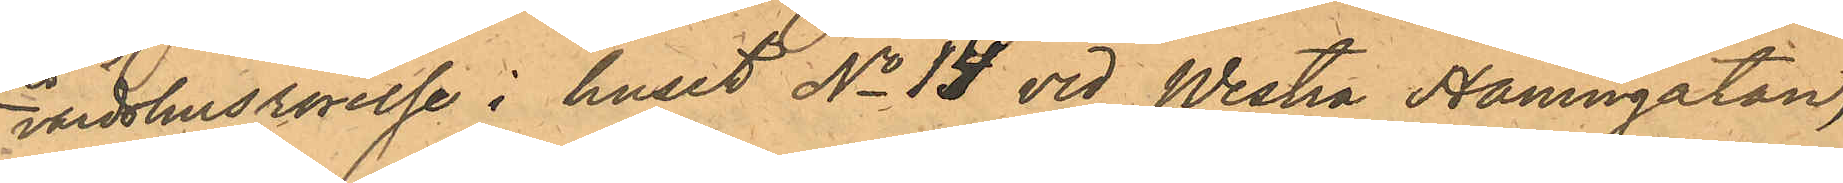värdshusrörelse i huset No 14 vid Westra Hamngatan,
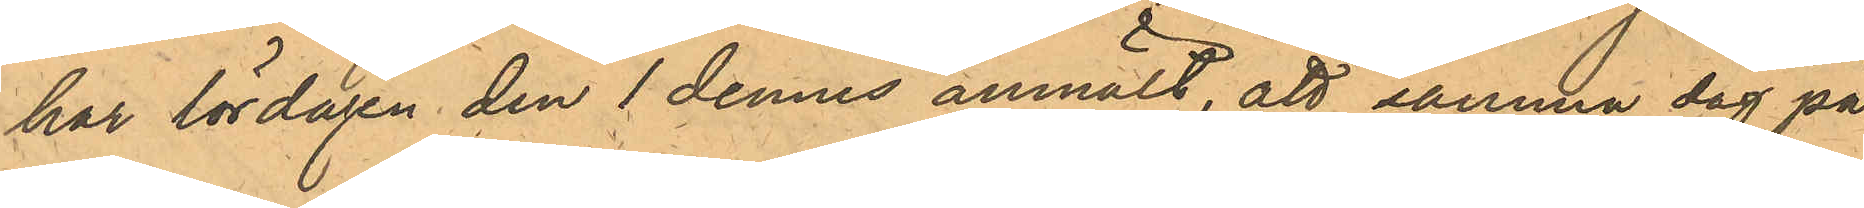har lördagen den 1 dennes anmält, att samma dag på
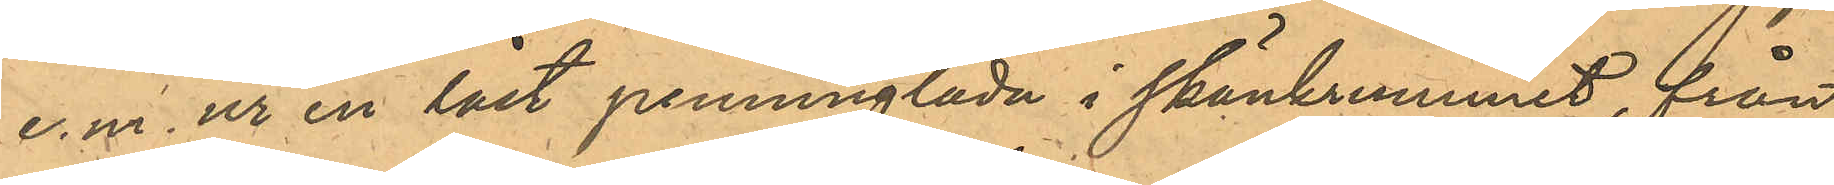e.m. ur en låst penninglåda i skänkrummet, från
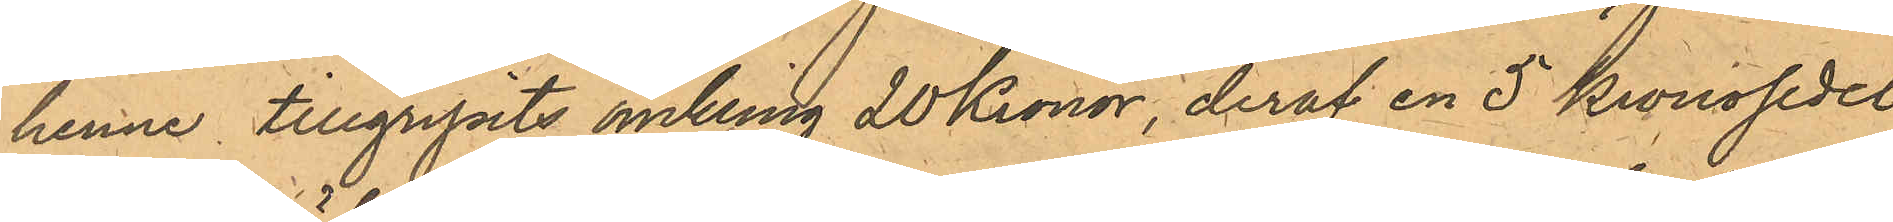henne tillgripits omkring 20 Kronor, deraf en 5 kronosedel
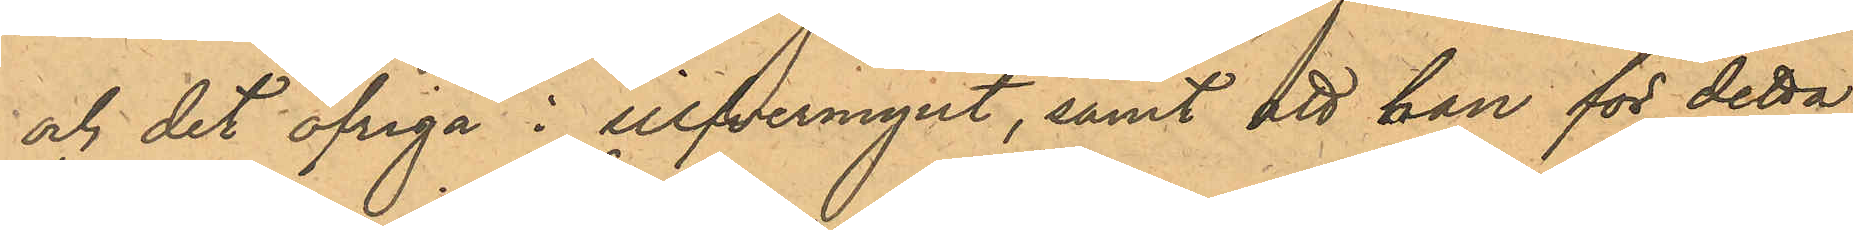och det öfriga i silfvermynt, samt att han för detta
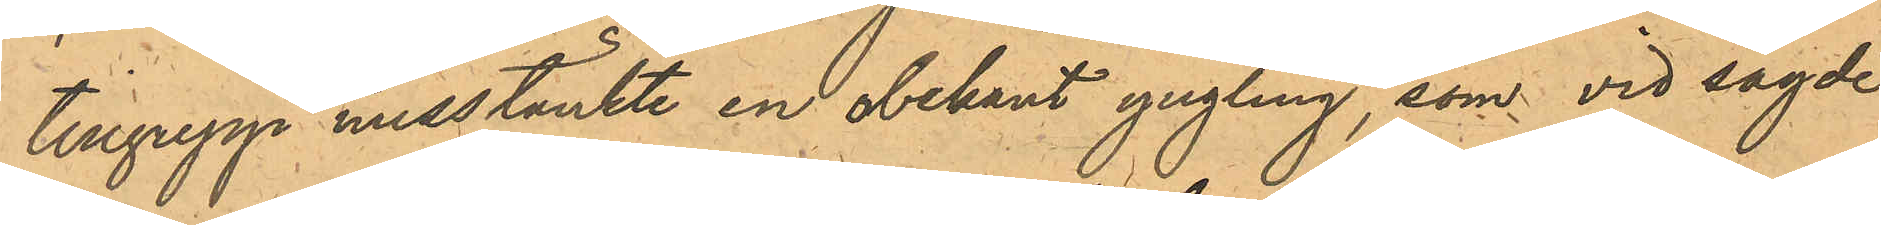tillgrepp misstänkte en obekant yngling, som vid sagde
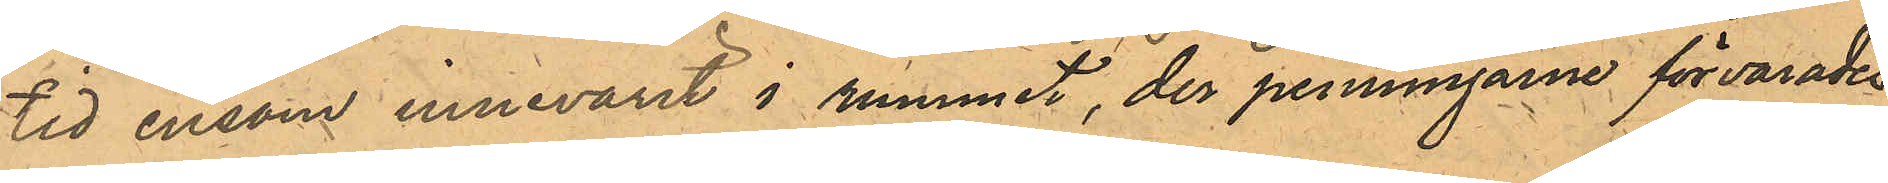tid ensam innevarit i rummet, der penningarne förvarades.
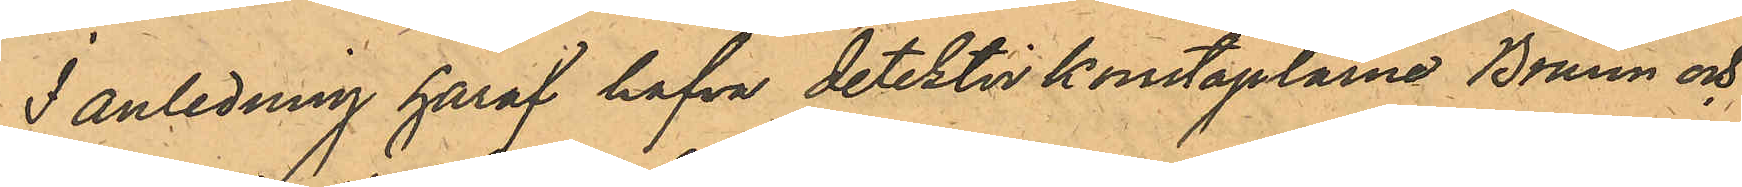I anledning häraf hafva detektivkonstaplarne Bruun och
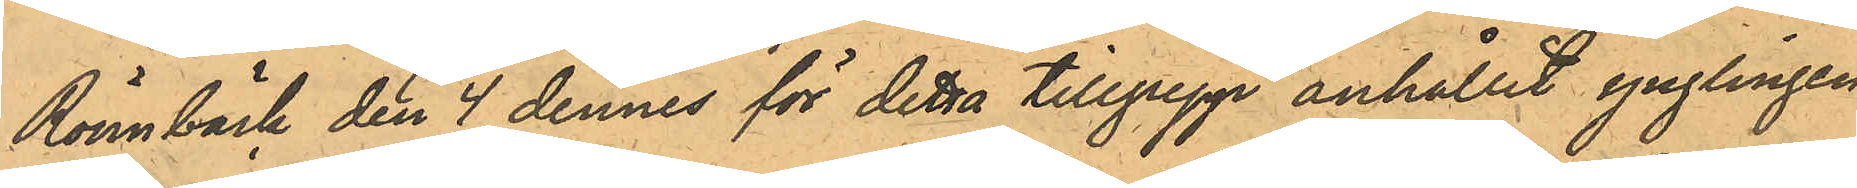Rönnbäck den 4 dennes för detta tillgrepp anhållit ynglingen
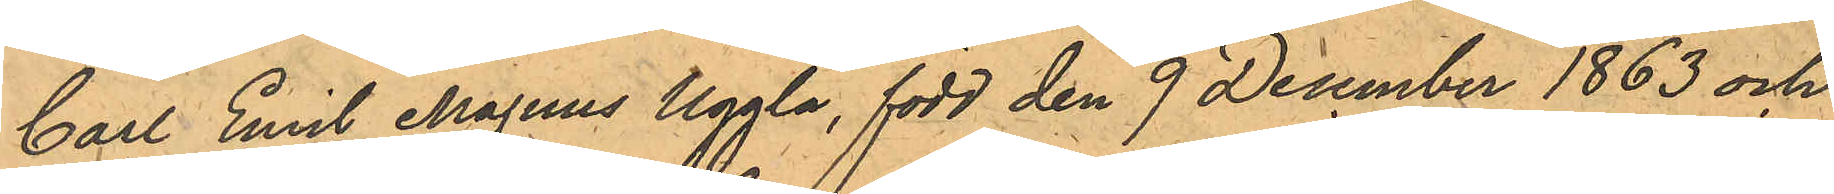Carl Emil Magnus Uggla, född den 9 December 1863 och
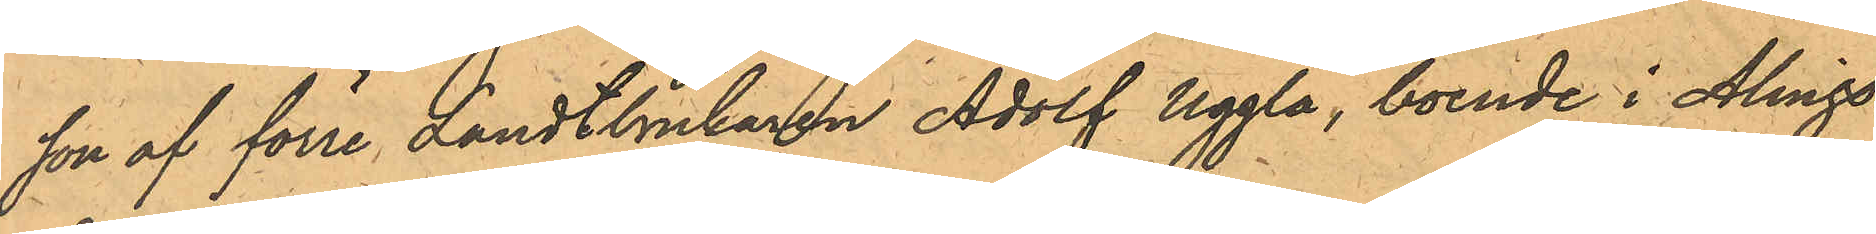son af förre Landtbrukaren Adolf Uggla, boende i Alings¬
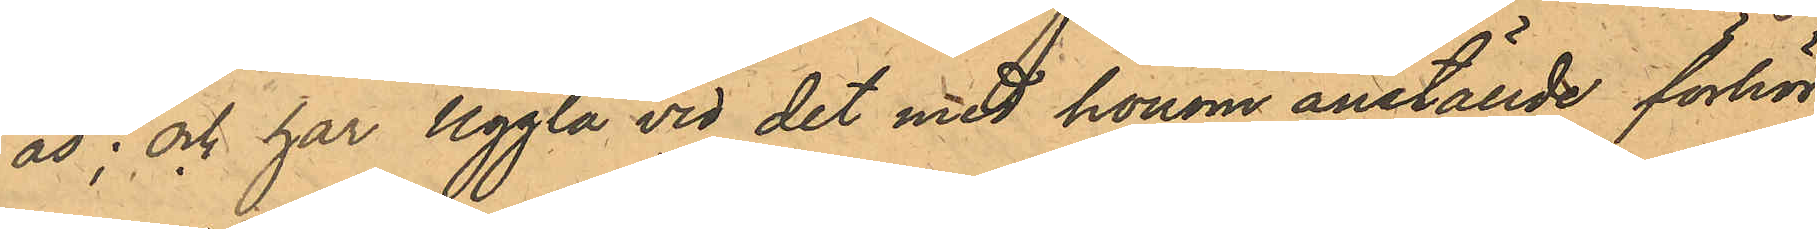ås; och har Uggla vid det med honom anställde förhör
